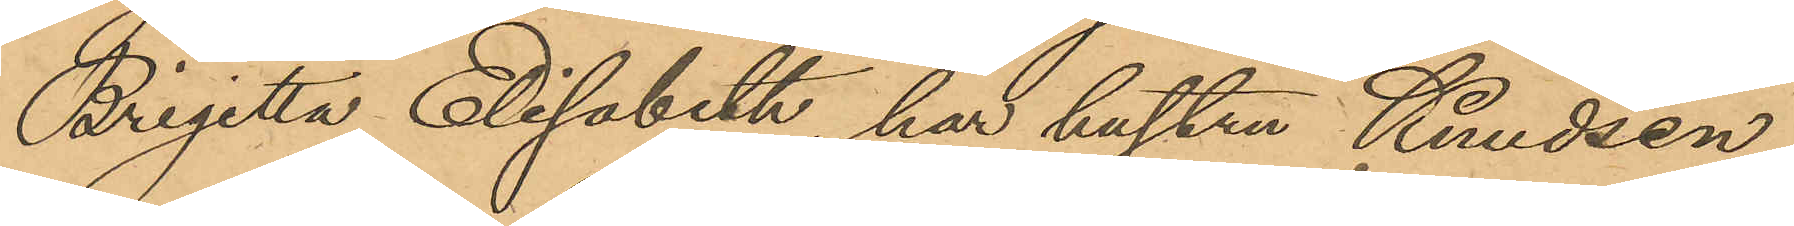Brigitta Elisabeth, har hustru Kundsen
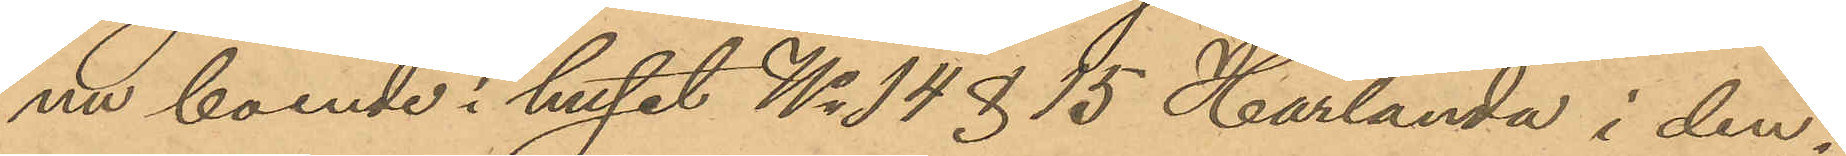nu boende i huset No 14 & 15 Härlanda i den¬
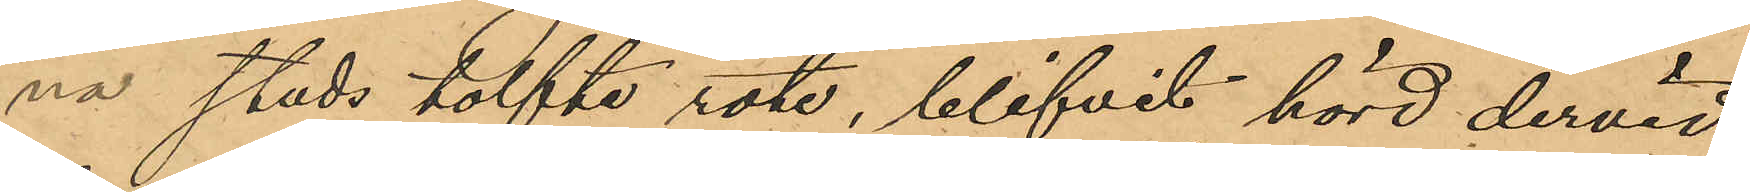na stads tolfte rote, blifvit hörd dervid
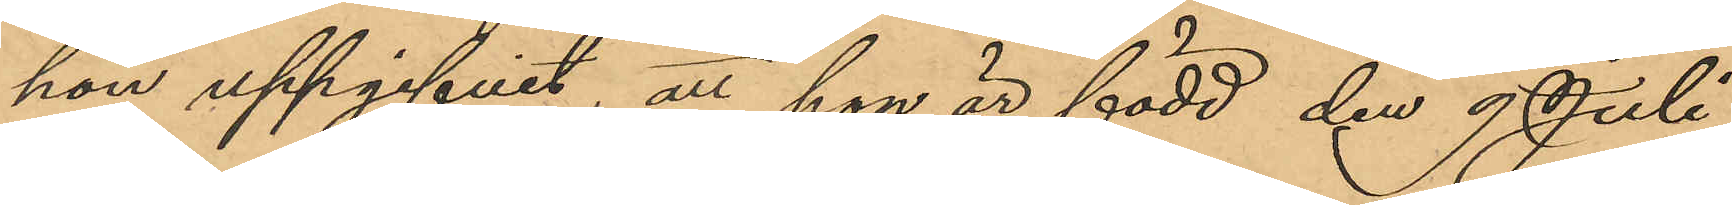hon uppgifvit, att hon är född den 9 Juli
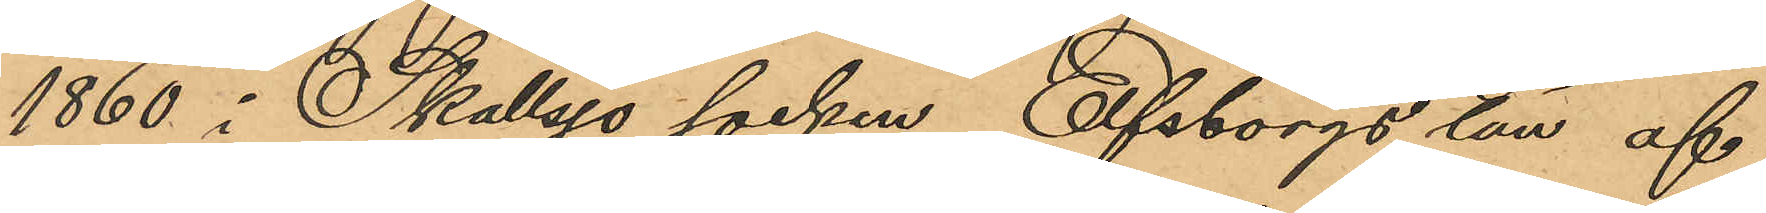1860 i Skallsjö socken, Elfsborgs län af
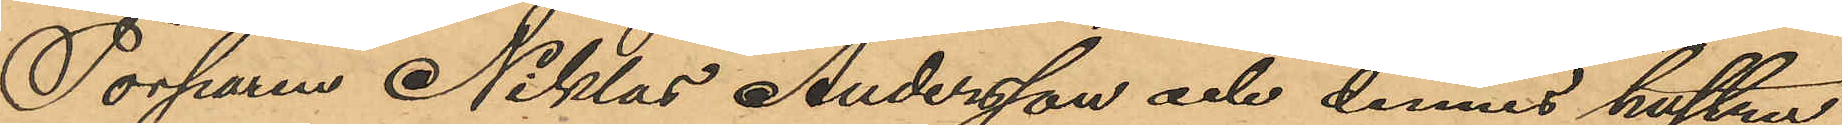Torparen Niklas Andersson och dennes hustru
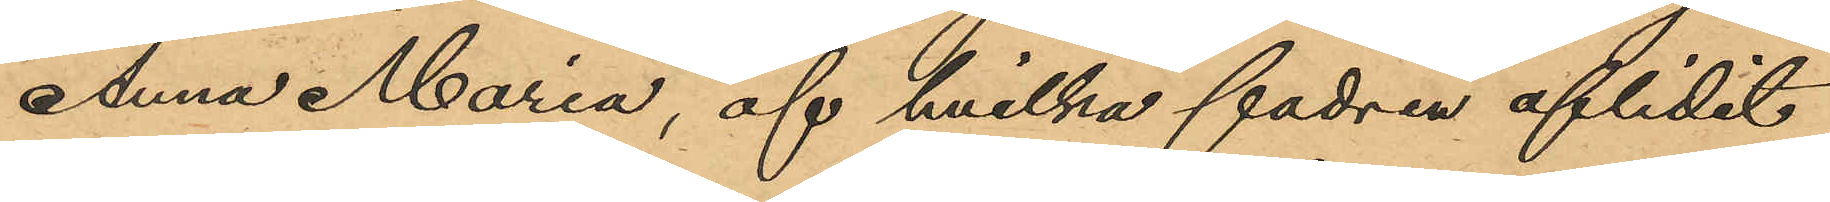Anna Maria, af hvilka fadren aflidit
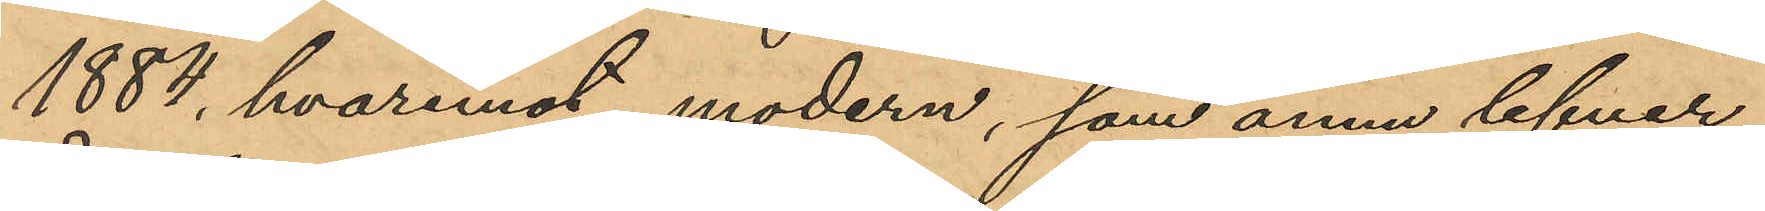1884, hvaremot modern, som ännu lefver,
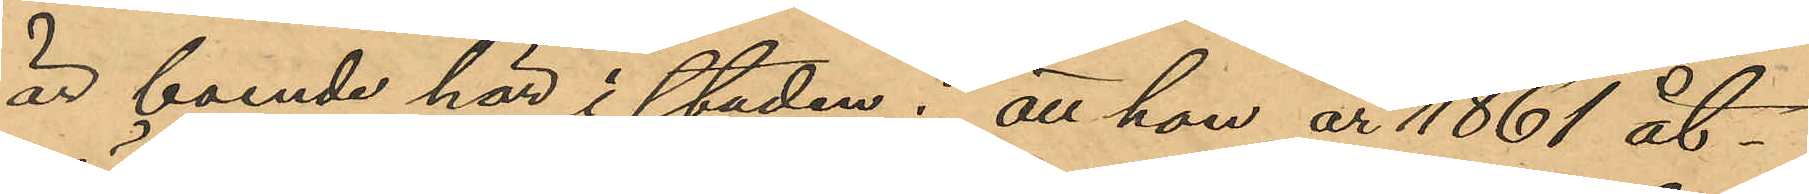är boende här i staden; att hon år 1861 åt¬
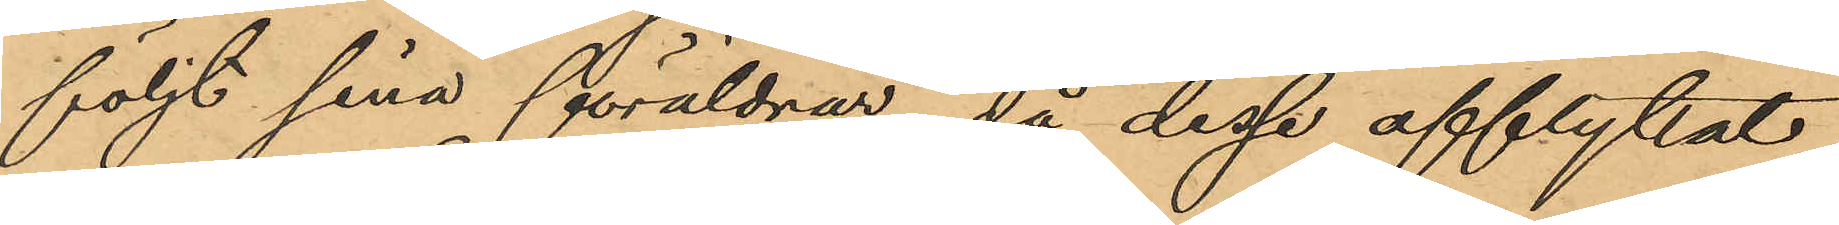följt sina föräldrar, då dessa afflyttat
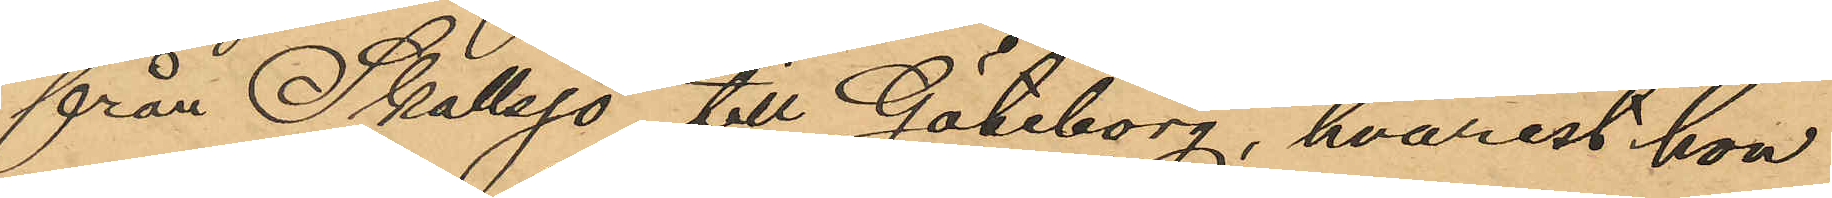från Skallsjö till Göteborg, hvarest hon
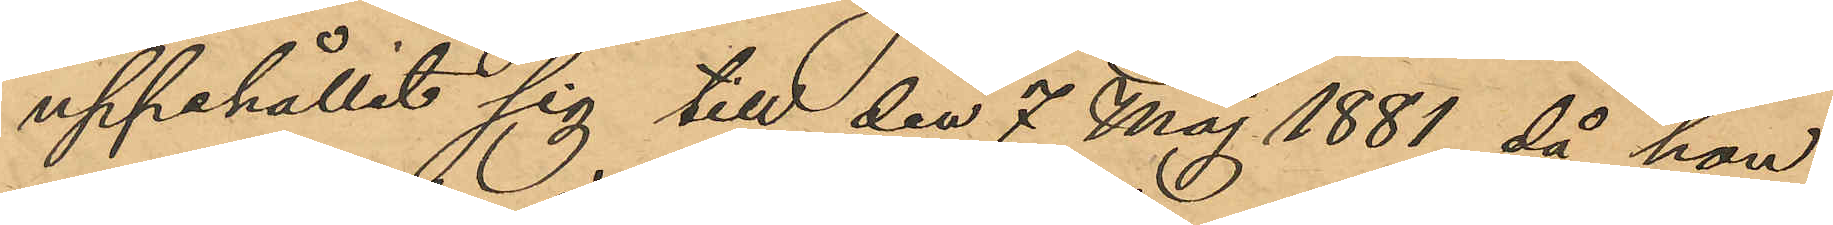uppehållit sig till den 7 Maj 1881, då hon
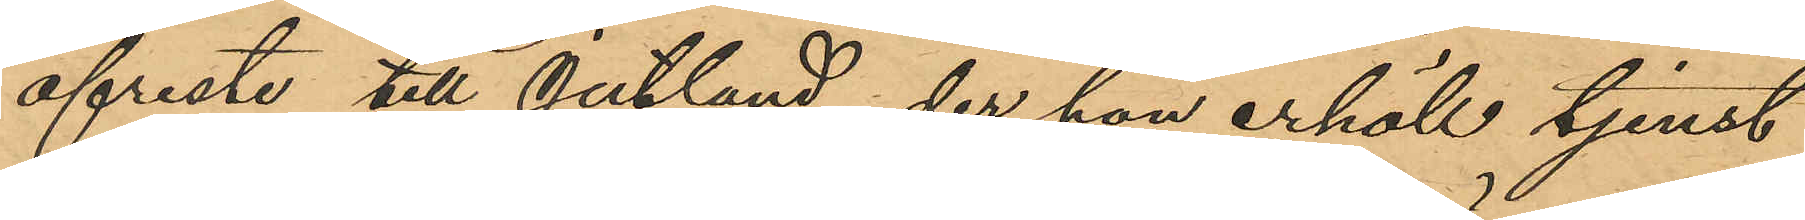afreste till Jutland, der hon erhöll tjenst
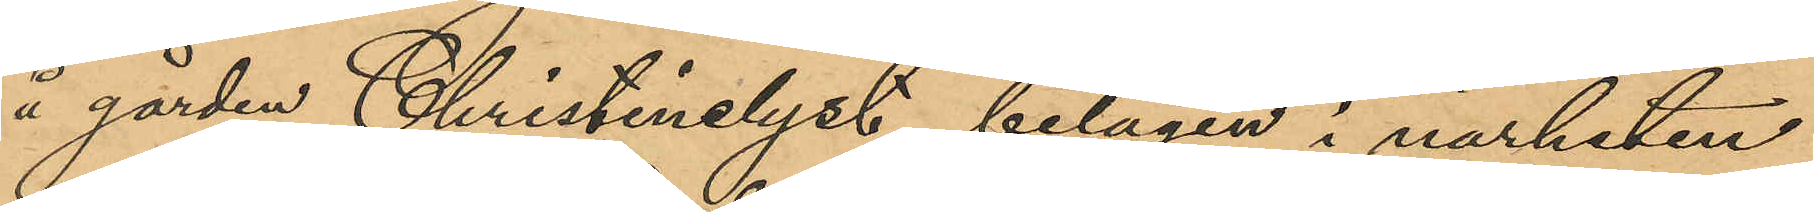å gården Christinelyst, belägen i närheten
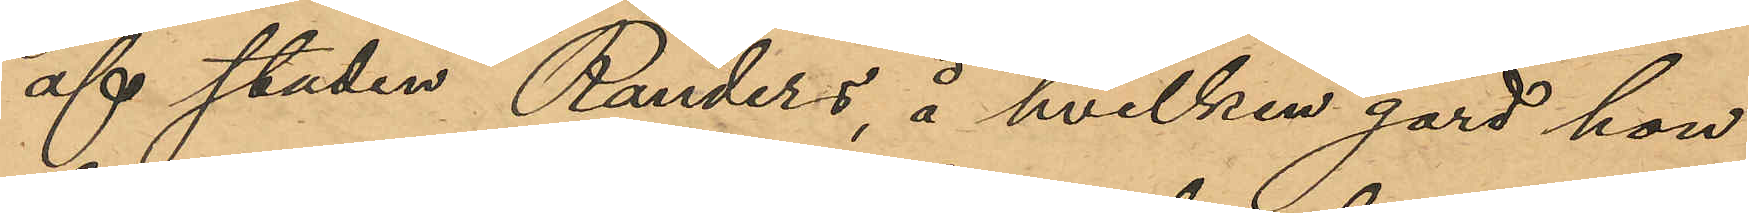af staden Randers, å hvilken gård hon
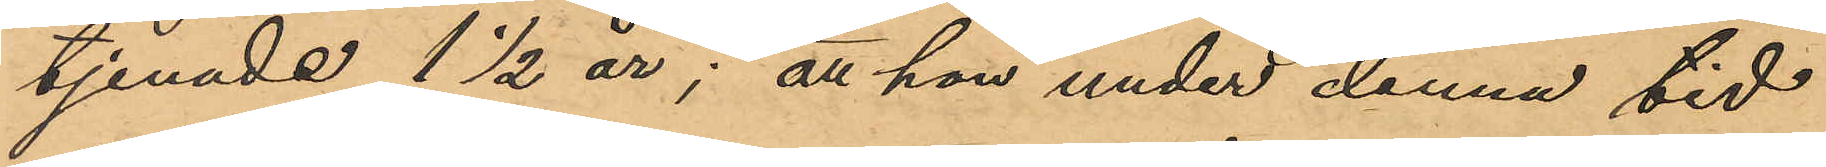tjenade 1½ år; att hon under denna tid
